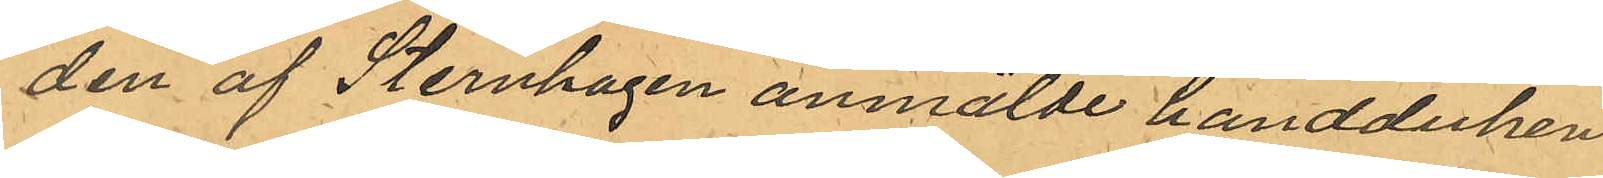den af Sternhagen anmälde handduken.
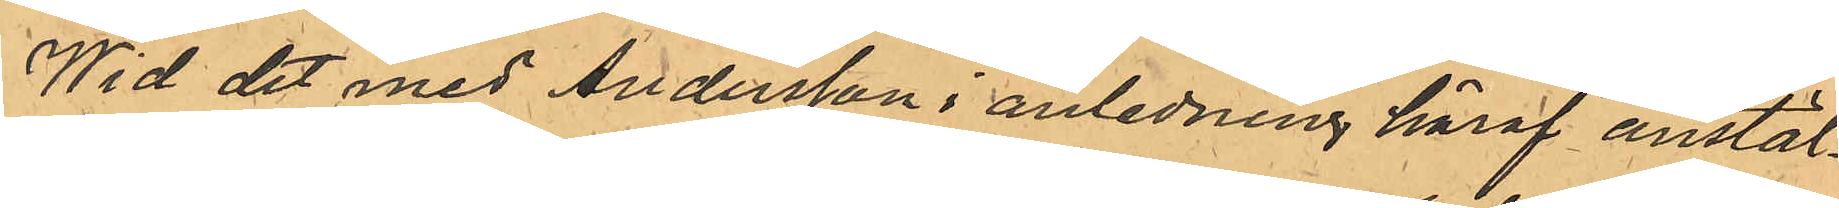Wid det med Andersson i anledning häraf anstäl¬
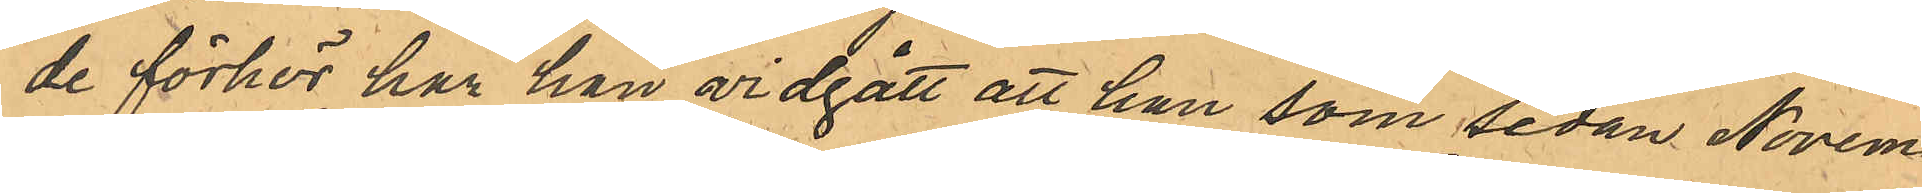de förhör har han vidgått att han som sedan Novem¬
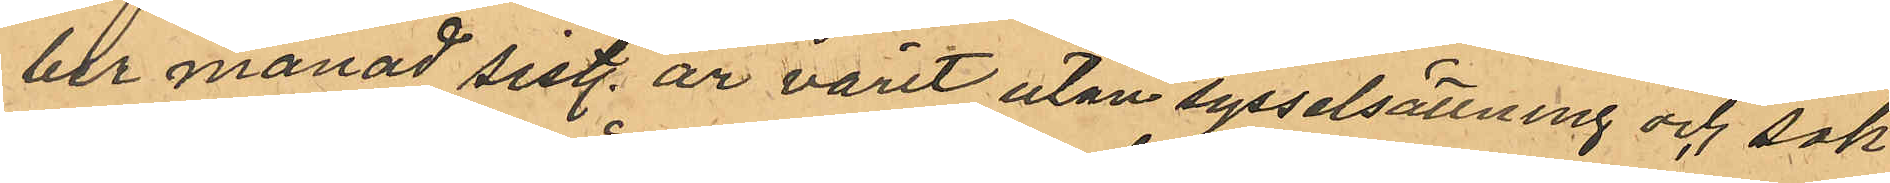ber månad sist. år varit utan sysselsättning och sak¬
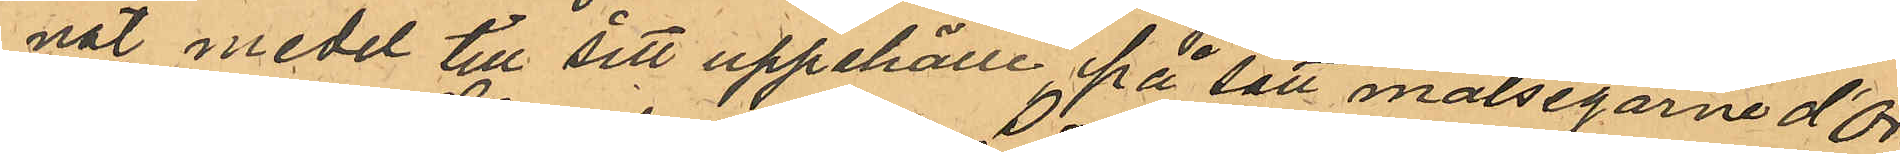nat medel till sitt uppehälle på sätt målegarne d'Or¬
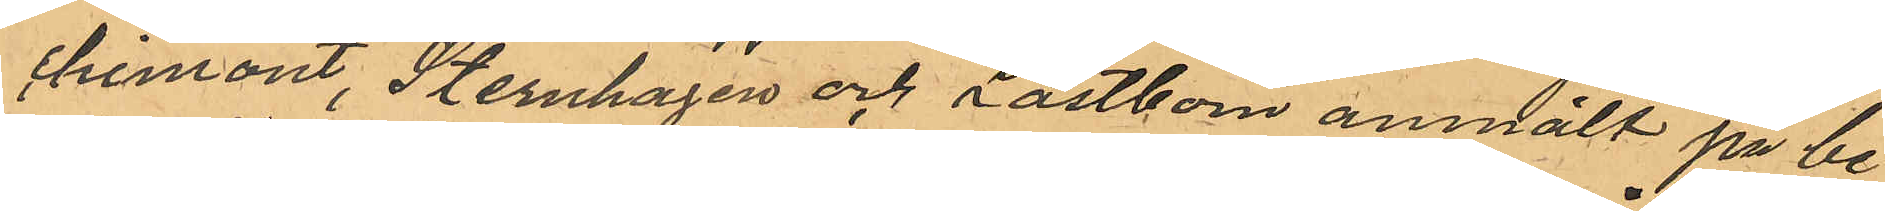chimont, Sternhagen och Låstbom anmält på be¬
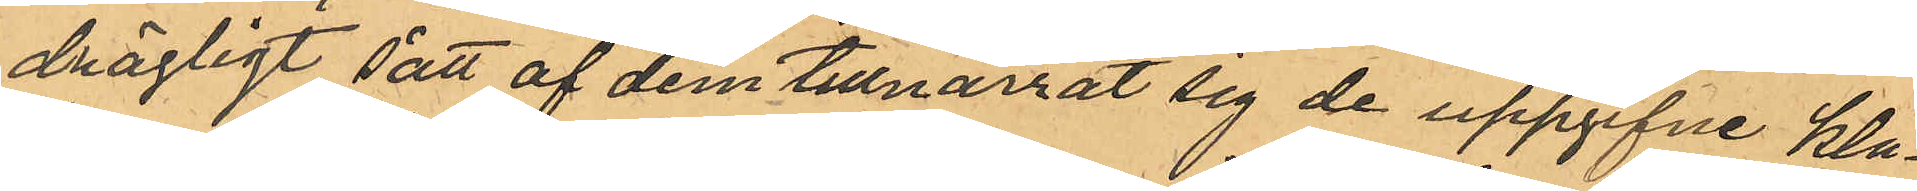drägligt sätt af den tillnarrat sig de uppgifne klä¬
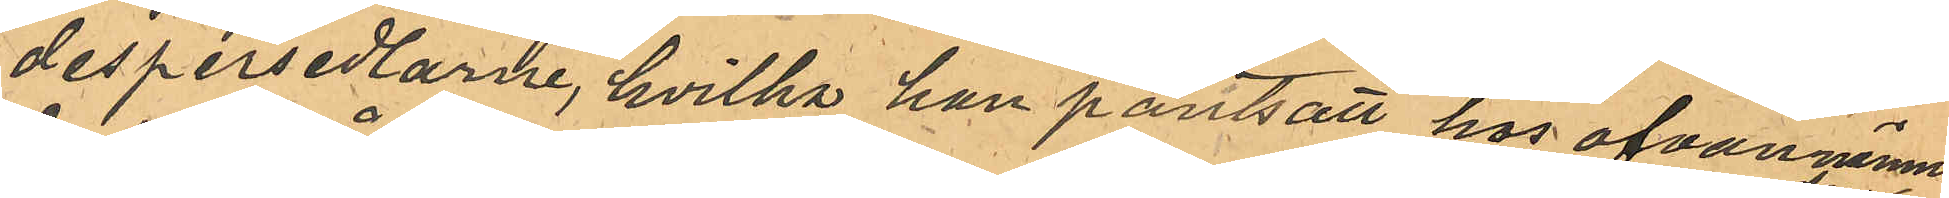despersedlarne, hvilka han pantsatt hos ofvannämn¬
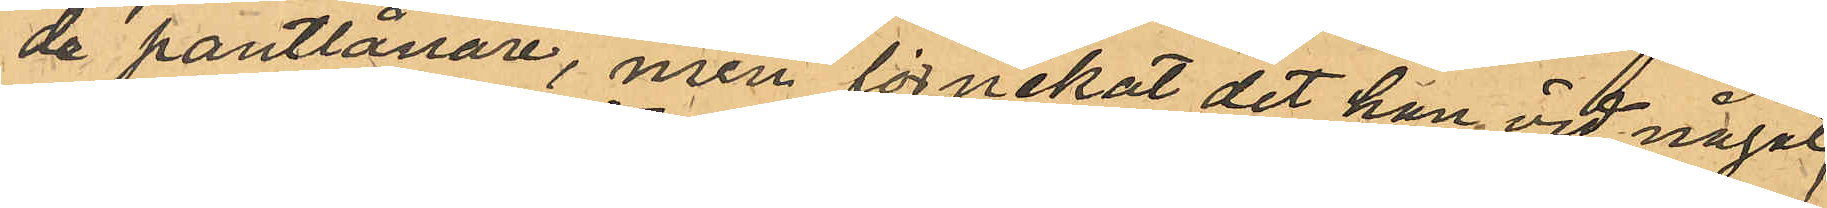de pantlånare, men förnekat det han vid något¬
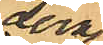dera
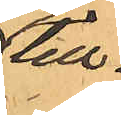till¬
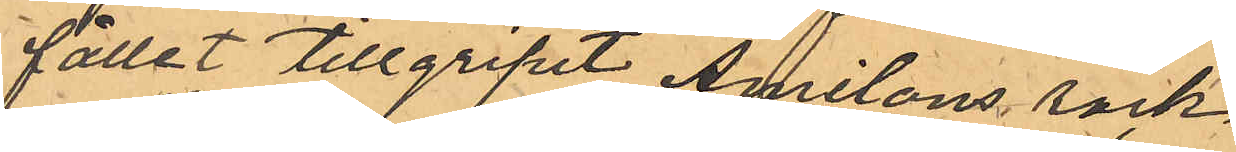fället tillgripit Amilons rock.
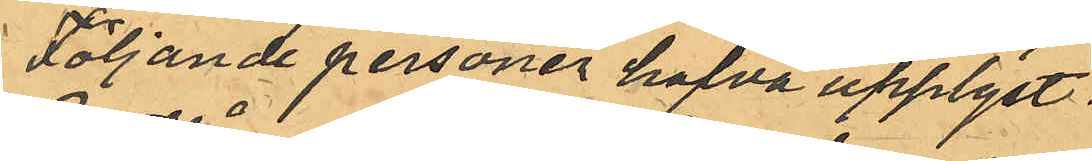Följande personer hafva upplyst:
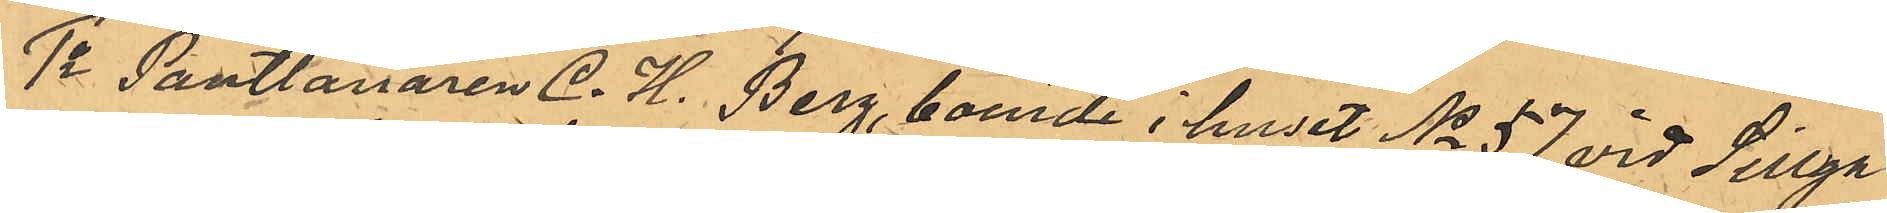1o Pantlånaren C. H. Berg, boende i huset No 57 vid Sillga¬
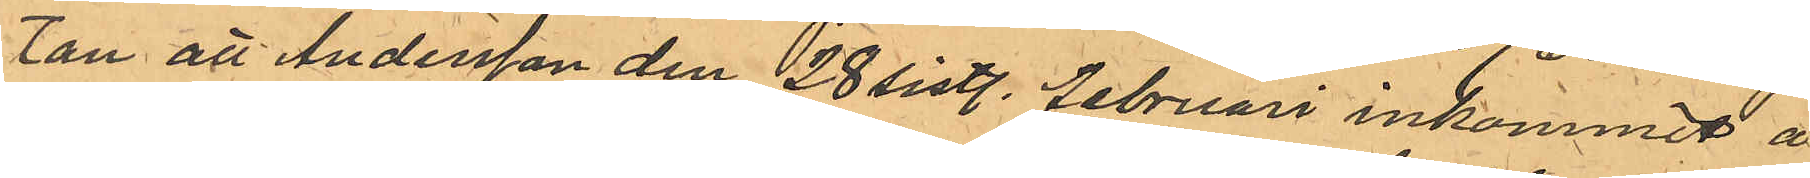tan att Andersson den 28 sist. februari inkommit å
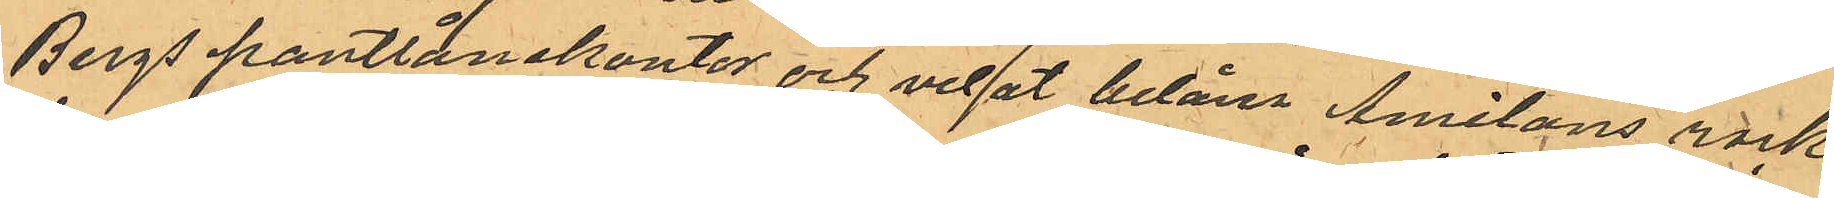Bergs pantlånekontor och velat belåna Amilons rock,
